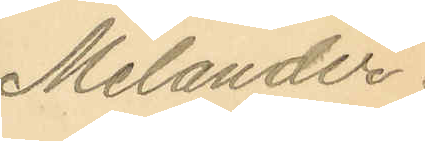Melander.
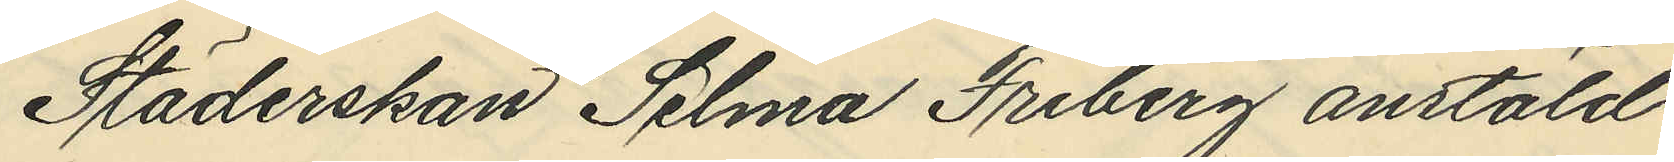Städerskan Selma Friberg anstäld
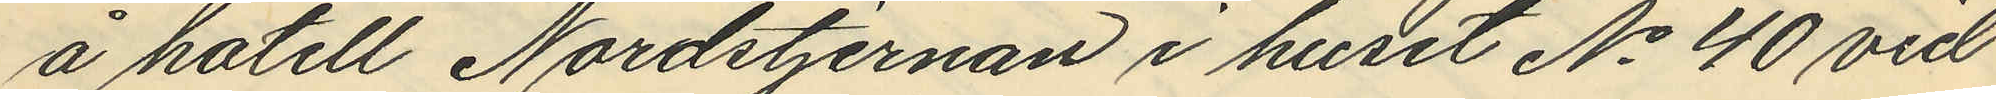å hotell Nordstjernan i huset No 40 vid
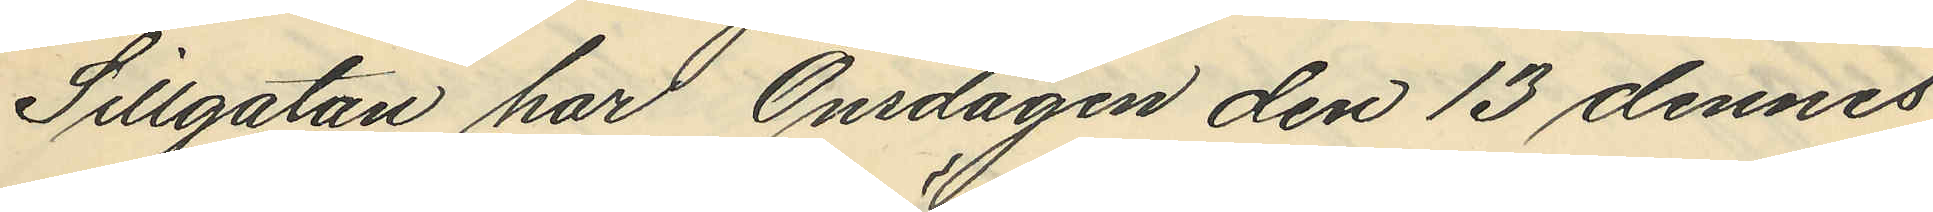Sillgatan har Onsdagen den 13 dennes
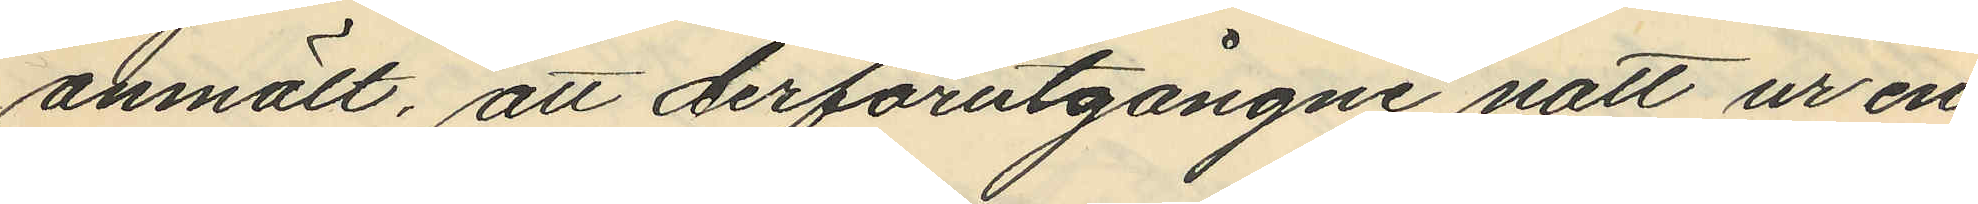anmält, att derförutgångne natt ur en
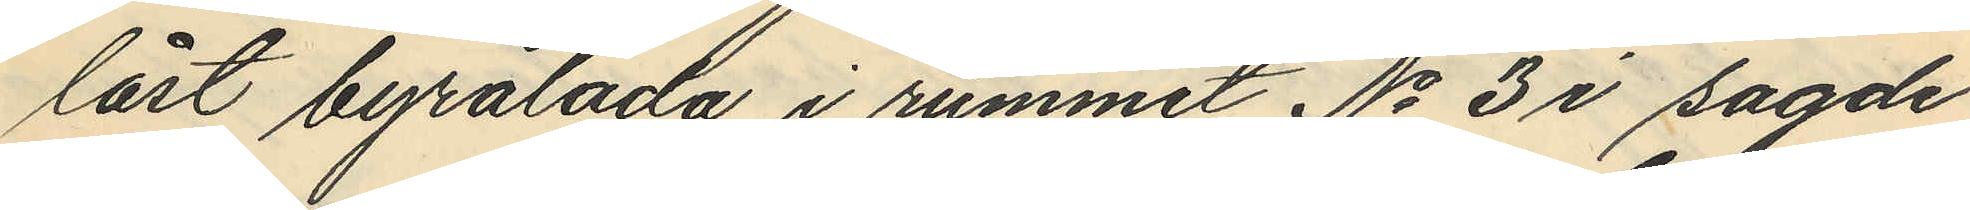låst byrålåda i rummet No 3 i sagde
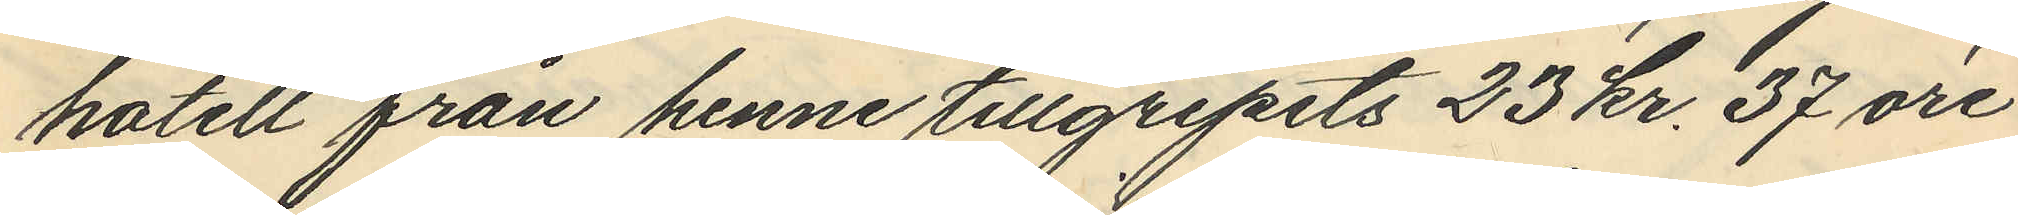hotell från henne tillgripits 23 Kr. 37 öre
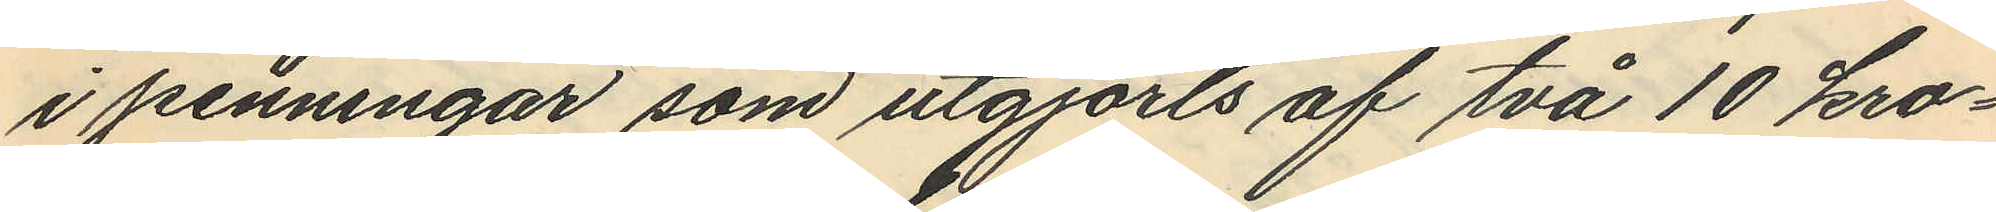i penningar som utgjorts af två 10 kro¬
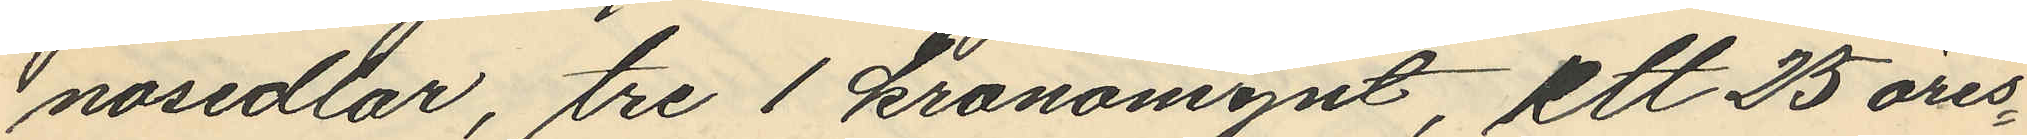nosedlar, tre 1 kronomynt, ett 25 öres¬
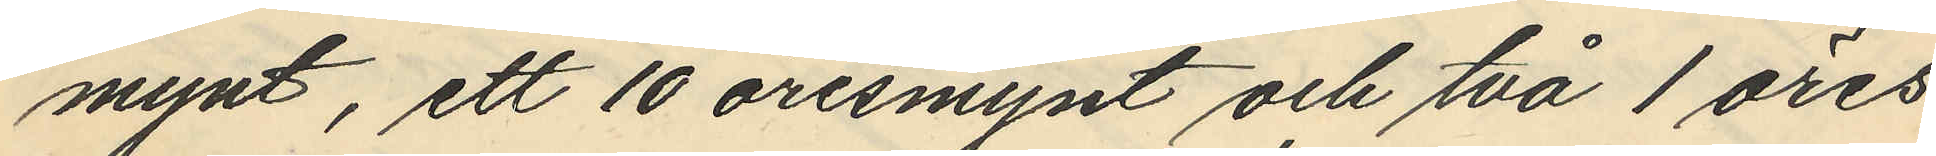mynt, ett 10 öresmynt och två 1 öres
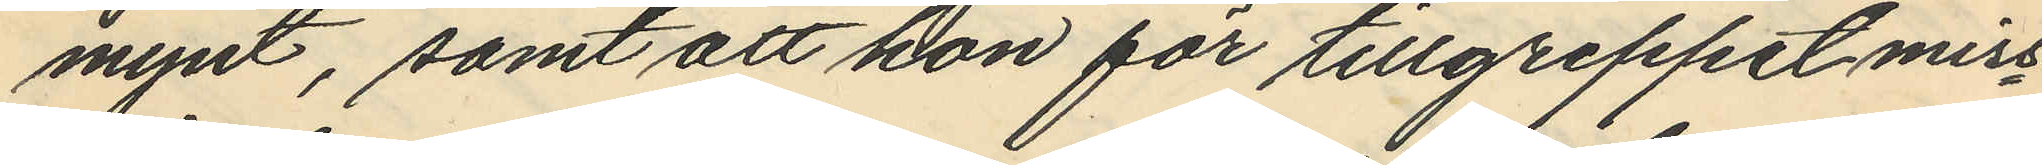mynt, samt att hon för tillgreppet miss¬
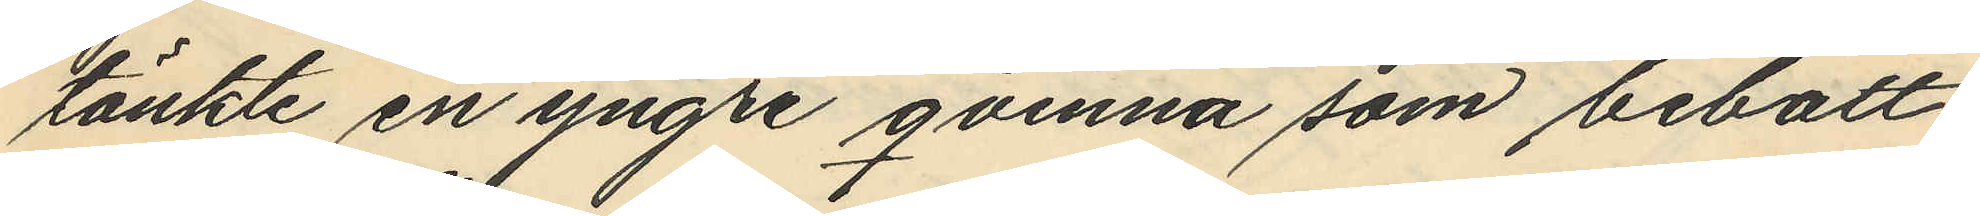tänkte en yngre qvinna som bebott
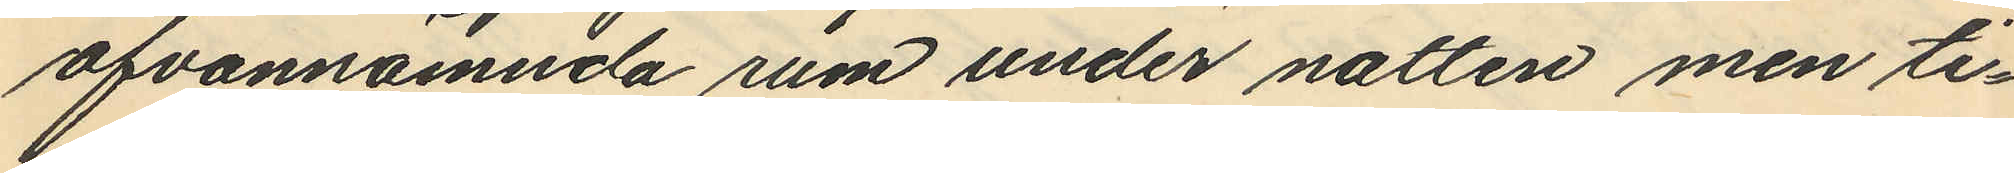ofvannämnda rum under natten men ti¬
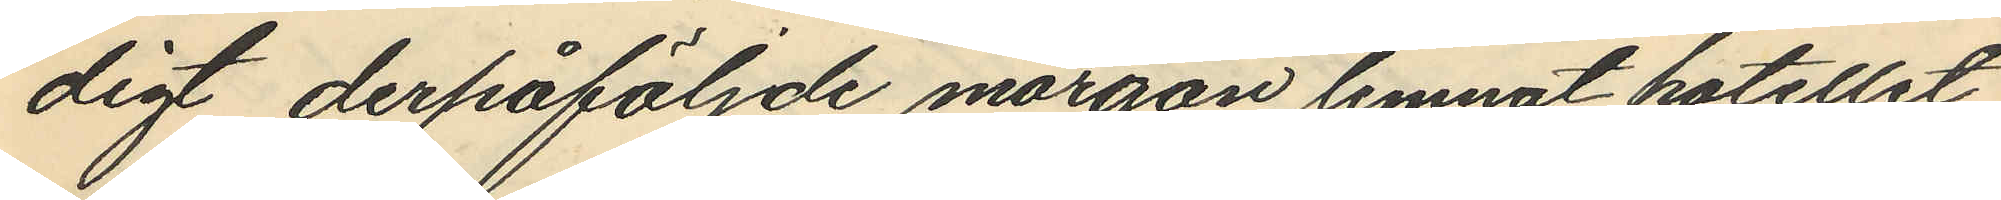digt derpåföljde morgon lemnat hotellet.
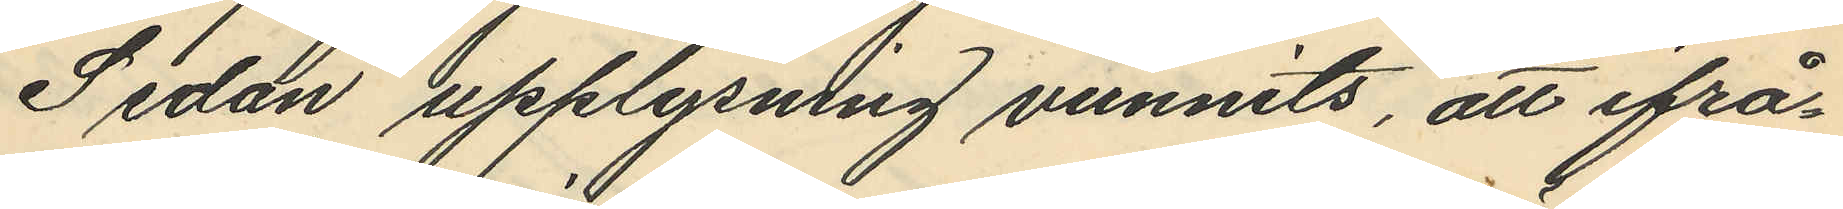Sedan upplysning vunnits, att ifrå¬
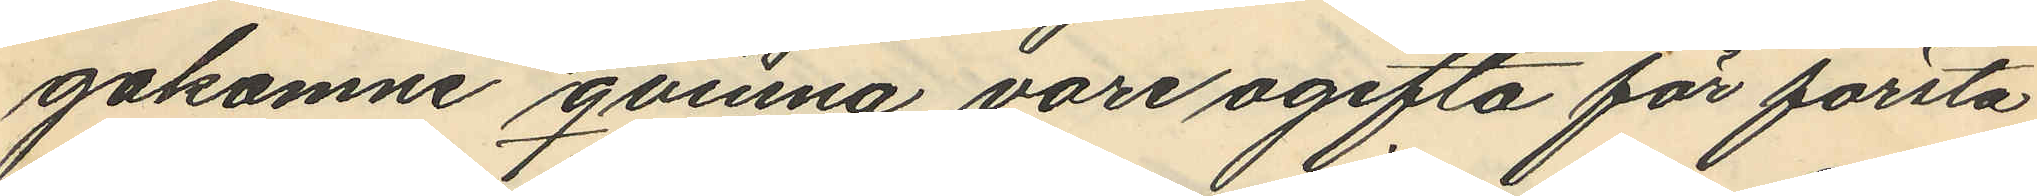gakomne qvinna vore ogifta för första
